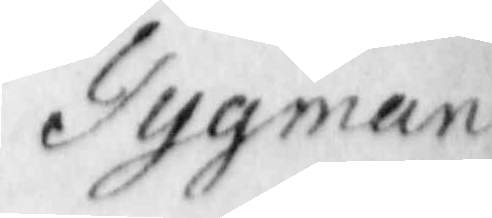Tygman
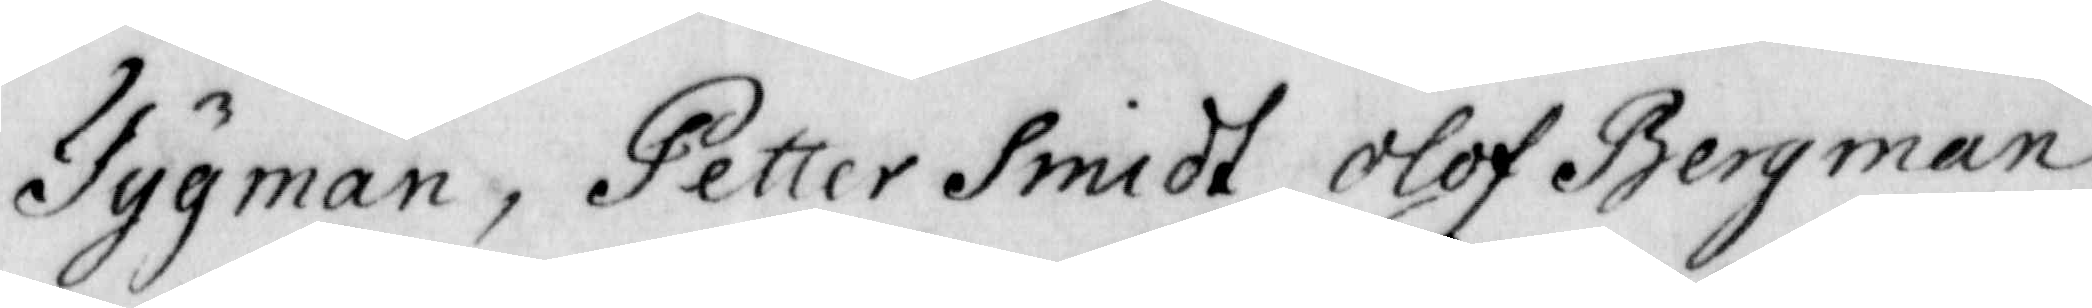Tygman, Petter Smidt, Olof Bergman
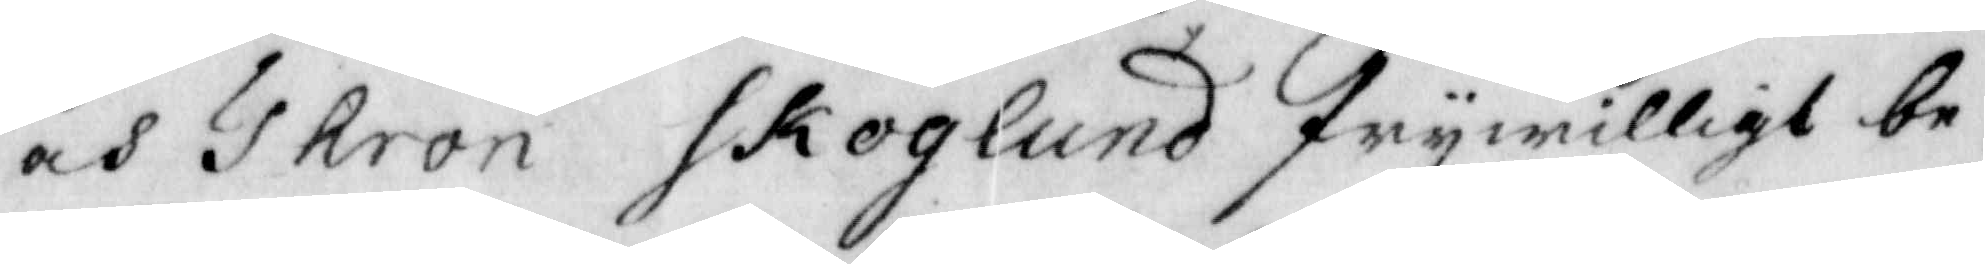och Thron Skoglund frywilligt be¬
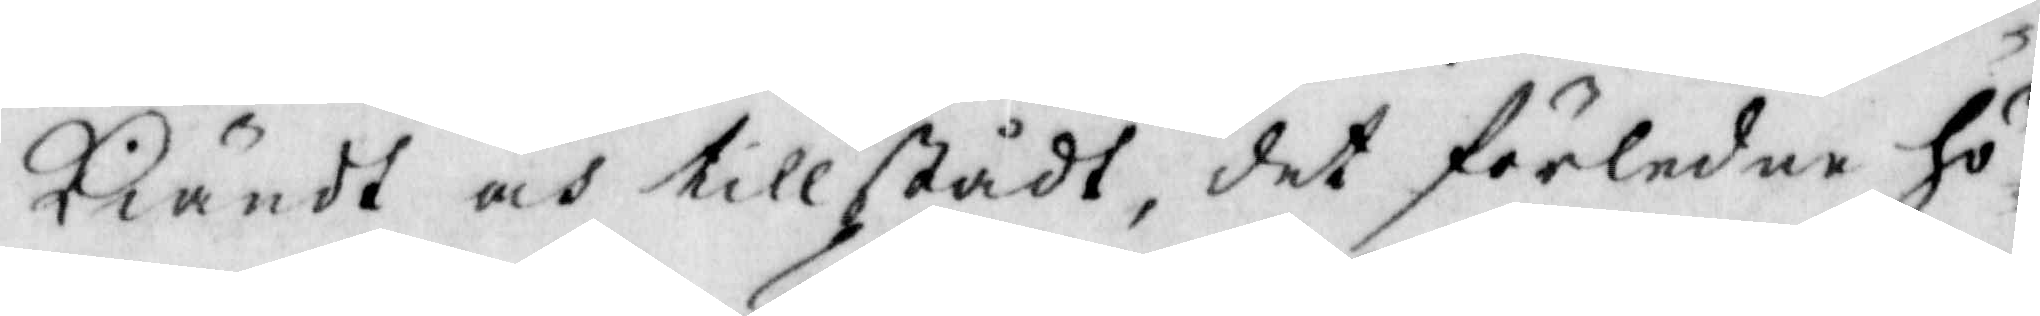kiändt och tillstådt, det förledne hö¬
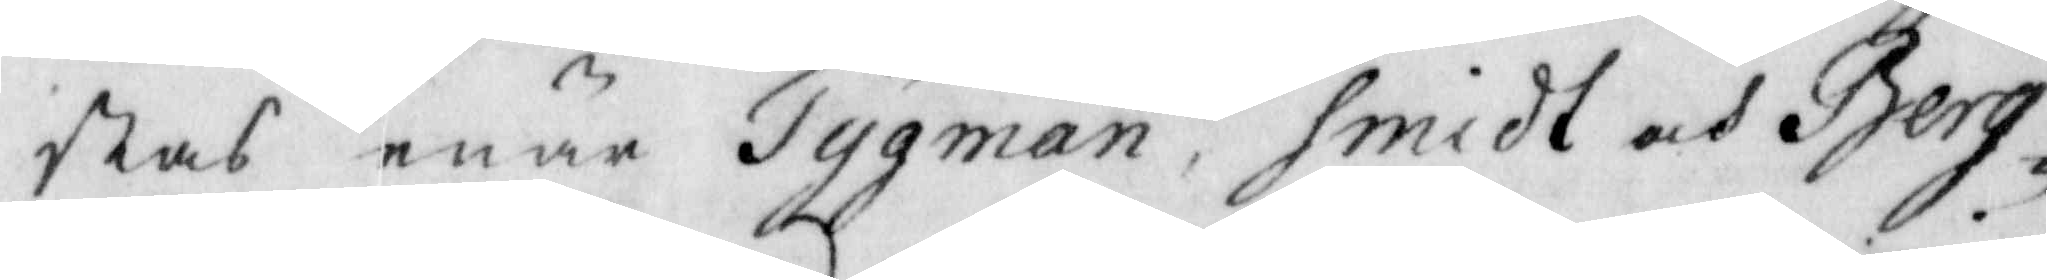stas enär Tygman, Smidt och Berg¬
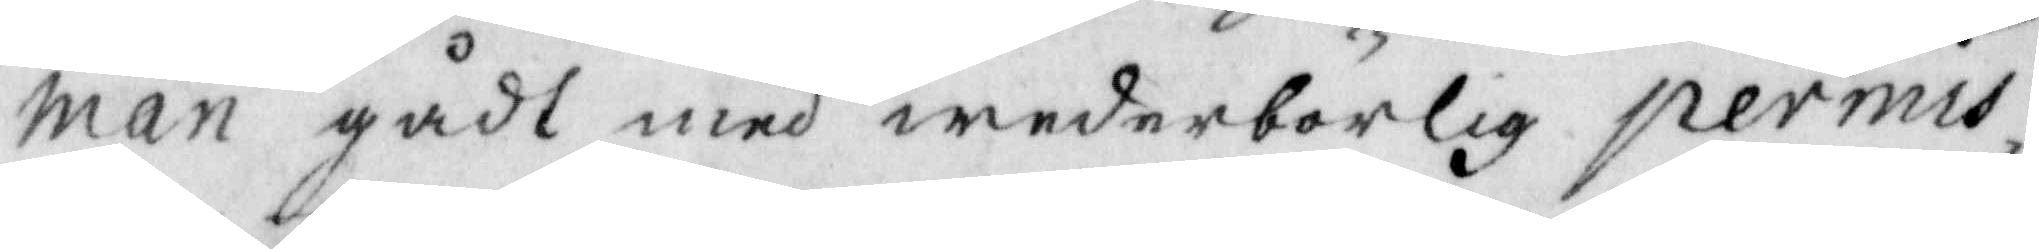man gådt med wederbörlig permis¬
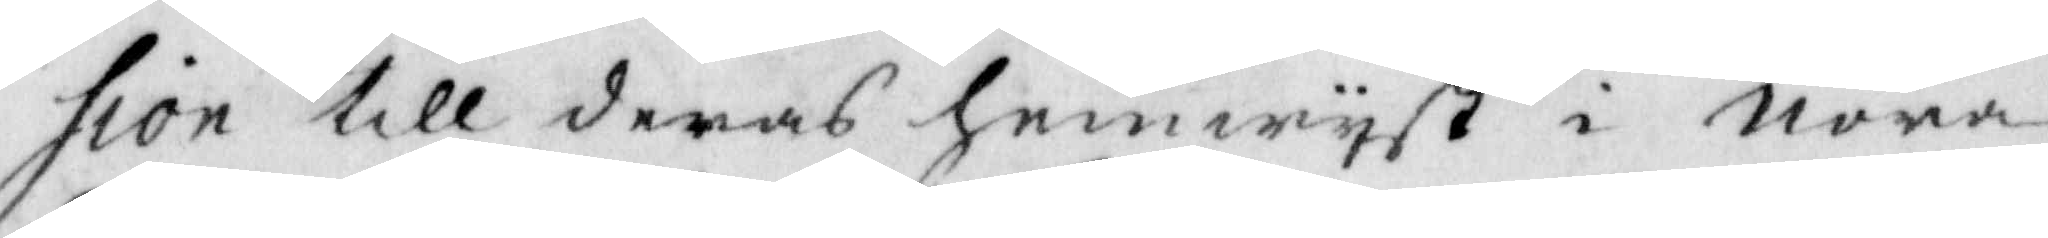sion till deras hemwyst i Nora
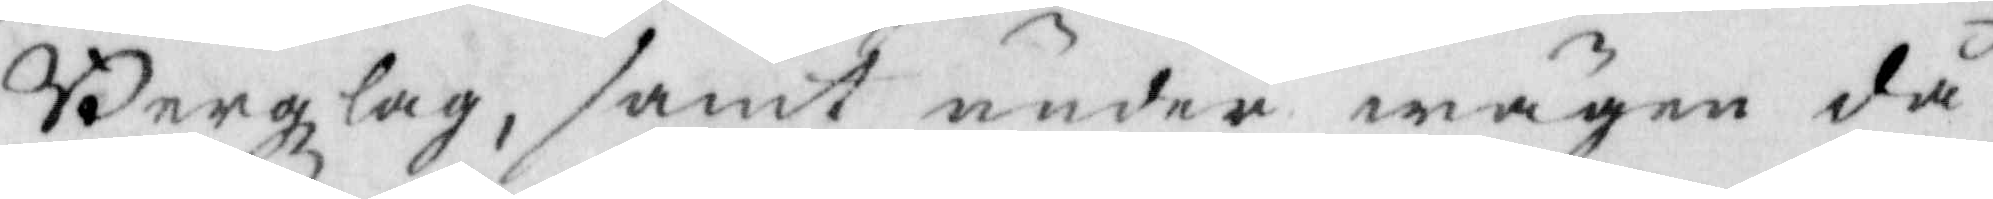Bergzlag, samt under wägen då
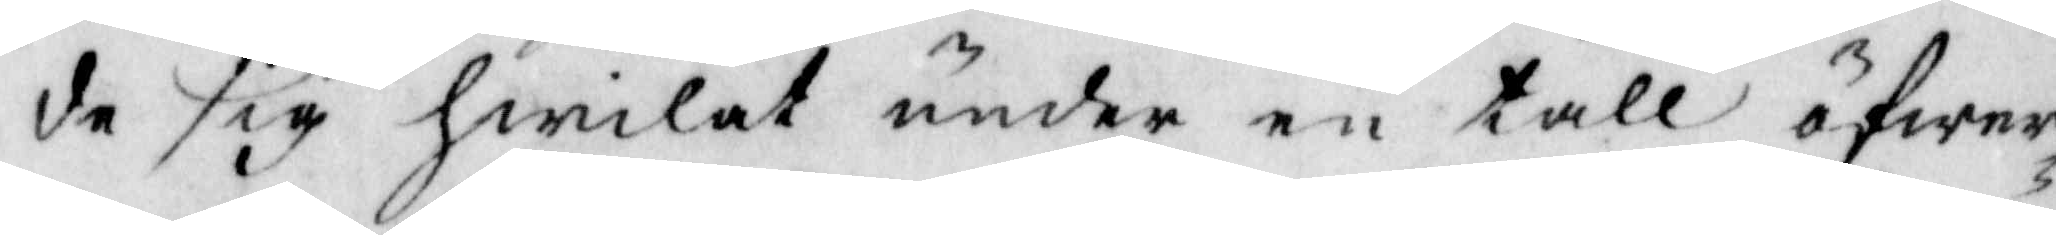de sig Hwilat under en tall öfwer¬
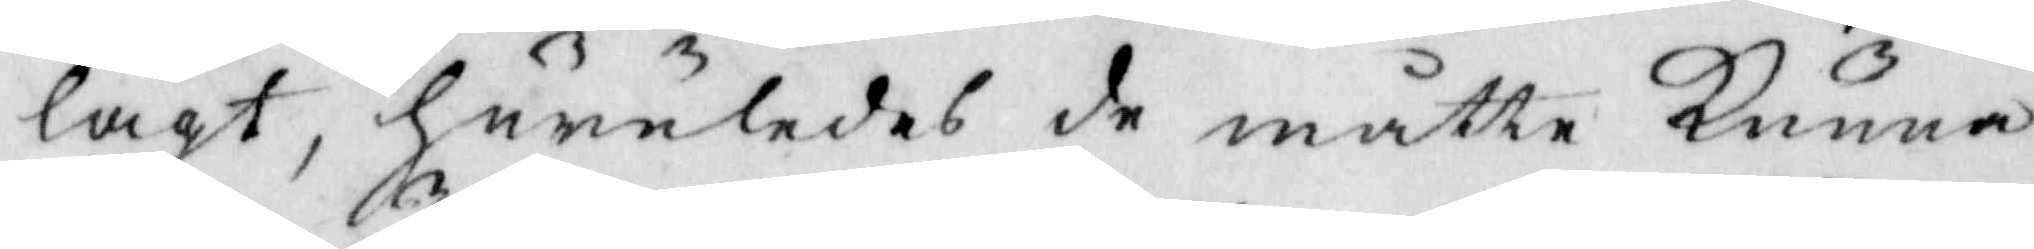lagt, huruledes de måtte kunna
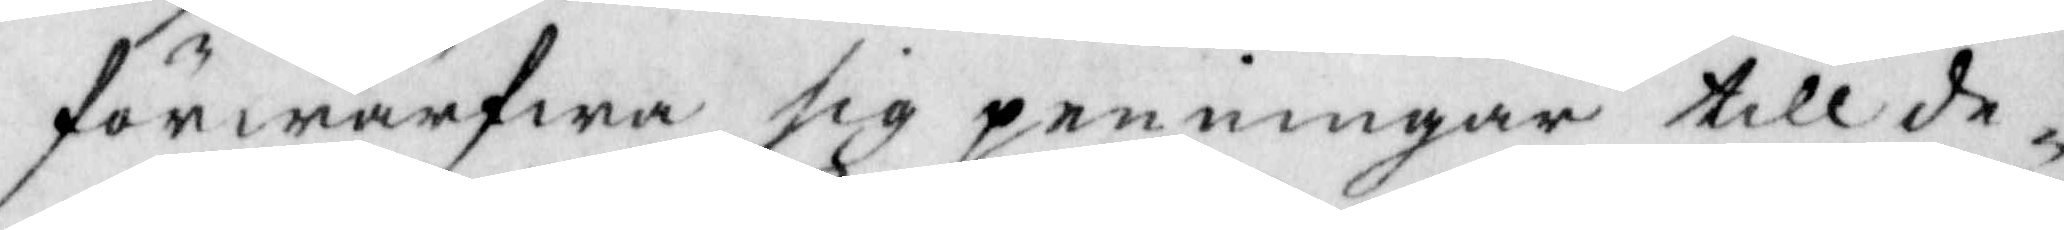förwärfwa sig penningar till de¬
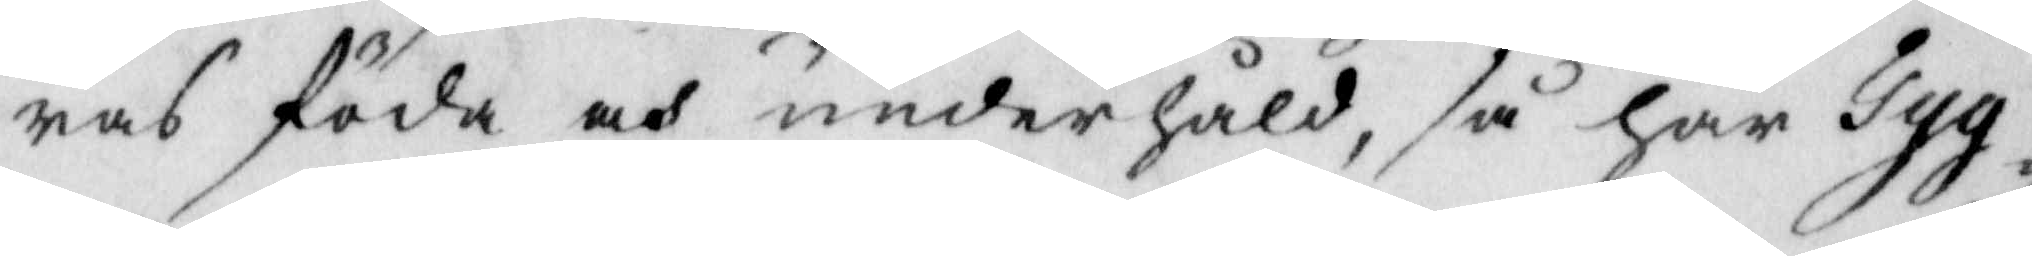ras föda och underhåld, så har Tyg¬
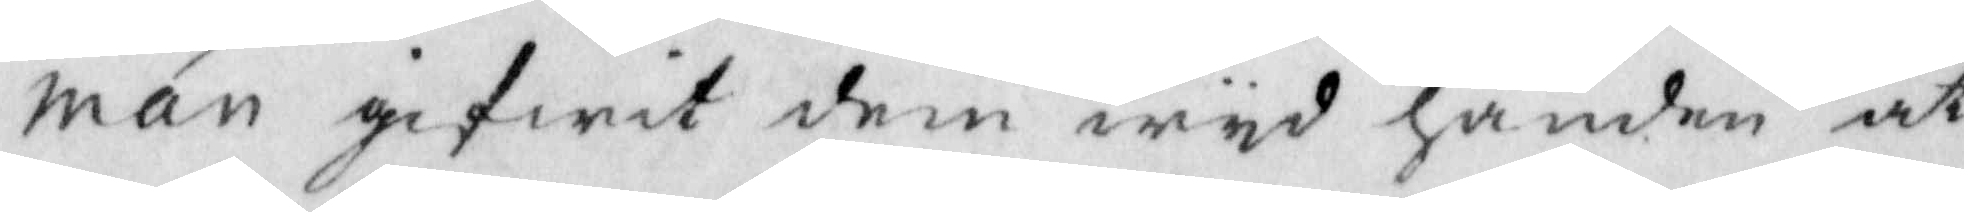man gifwit dem wyd handen at
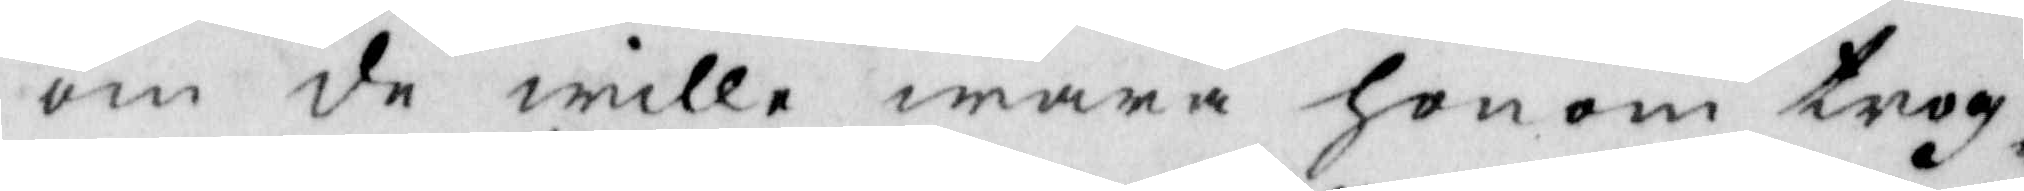om de wille wara honom trog¬
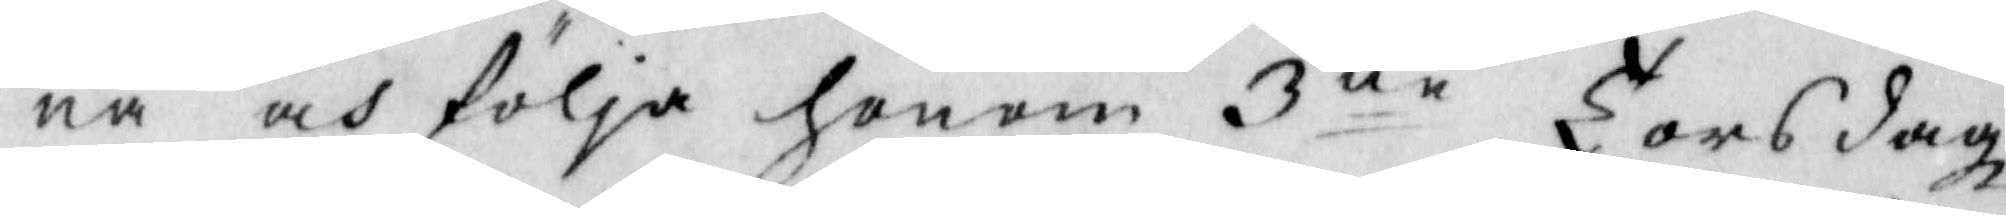na och följa honom 3ne Torsdagz¬
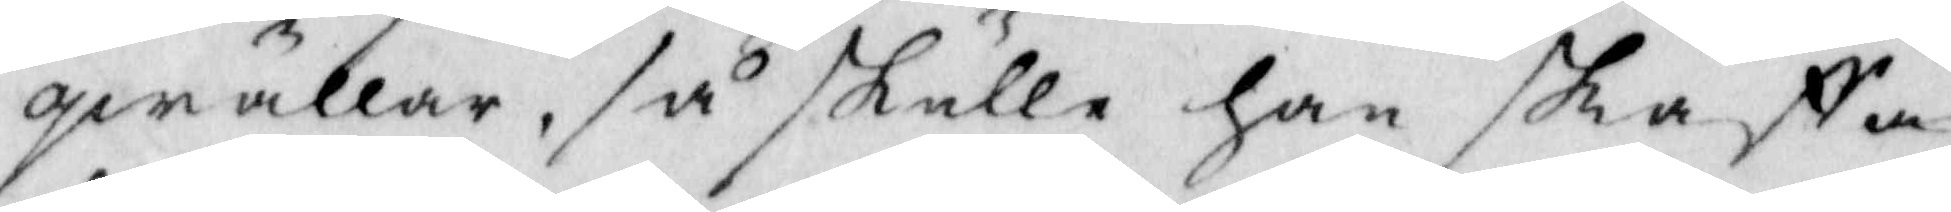qwällar, så skulle han skaffa
